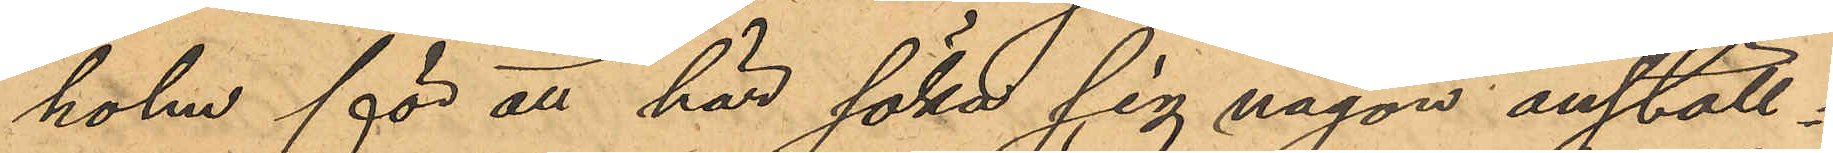holm för att här söka sig någon anställ¬
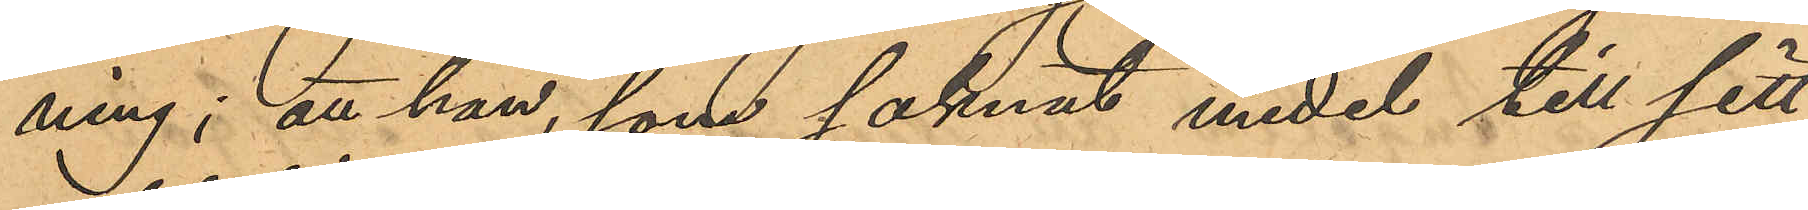ning; att han, som saknat medel till sitt
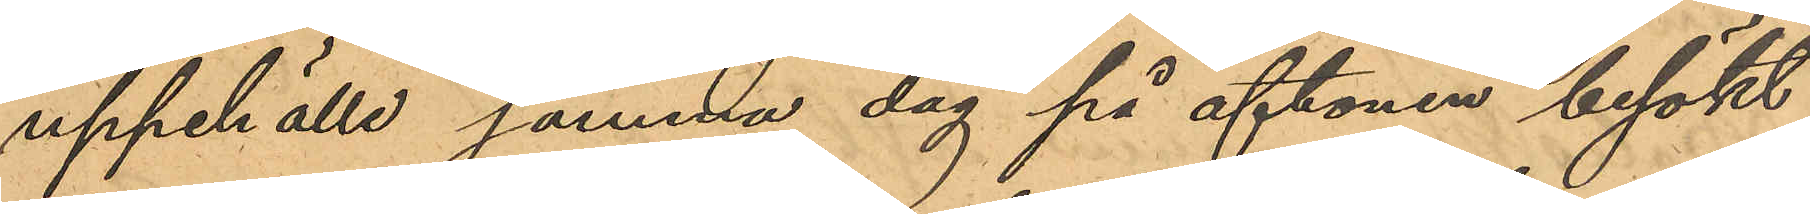uppehälle samma dag på aftonen besökt
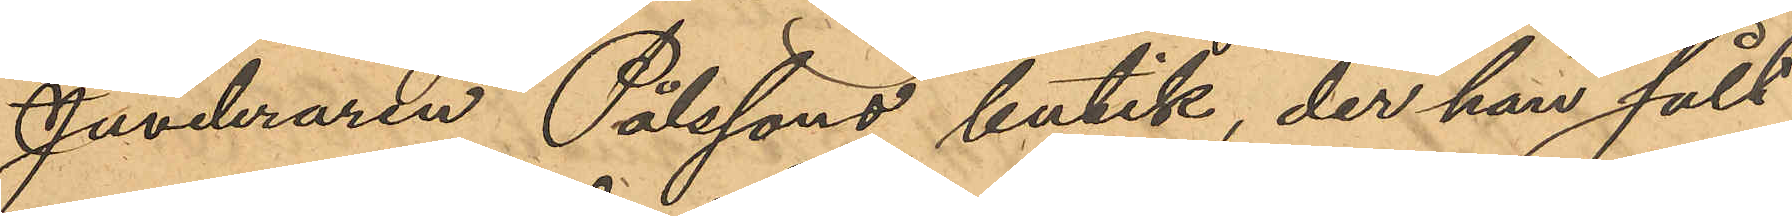Juveleraren Pålssons butik, der han sålt
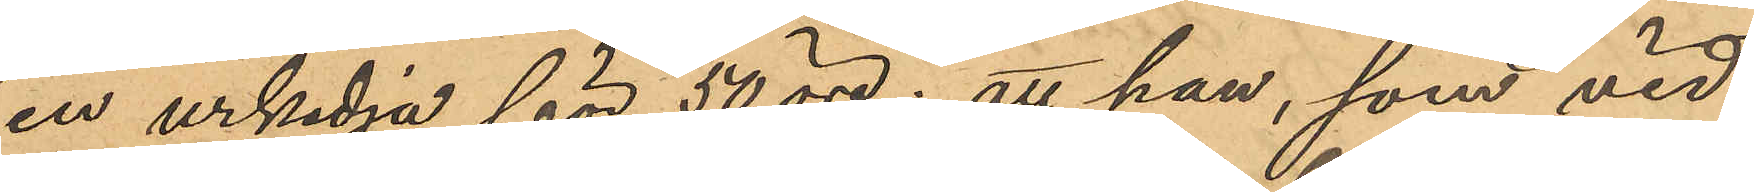en urkedja för 50 öre; att han, som vid
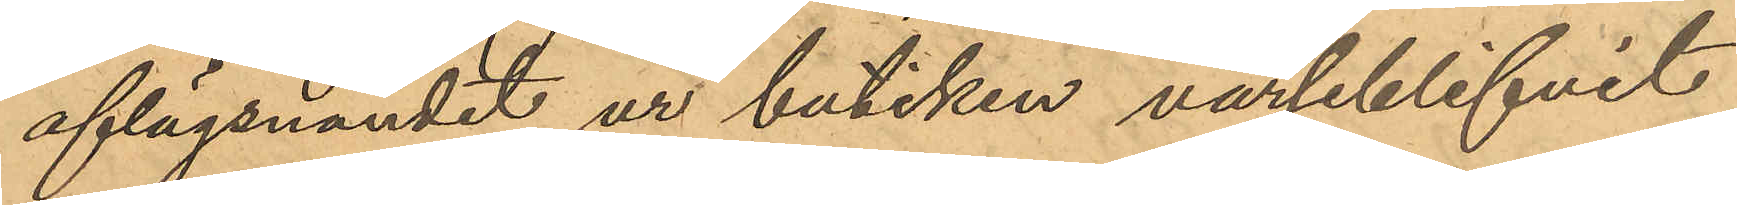aflägsnandet ur butiken varseblifvit
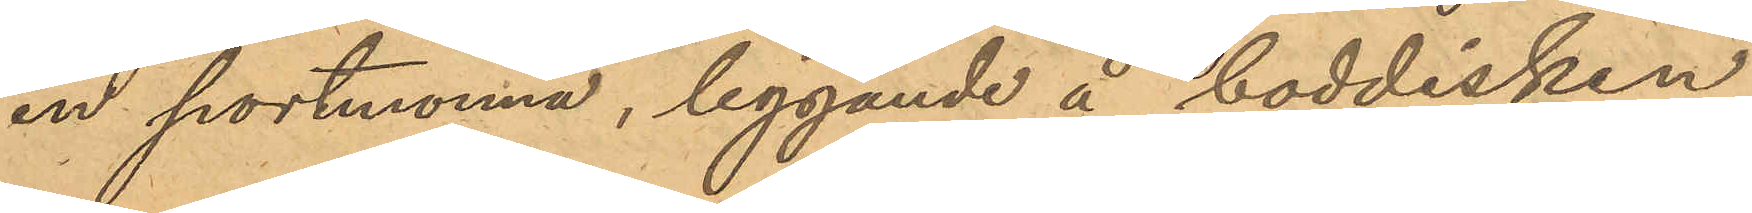en portmonnä, liggande å boddisken,
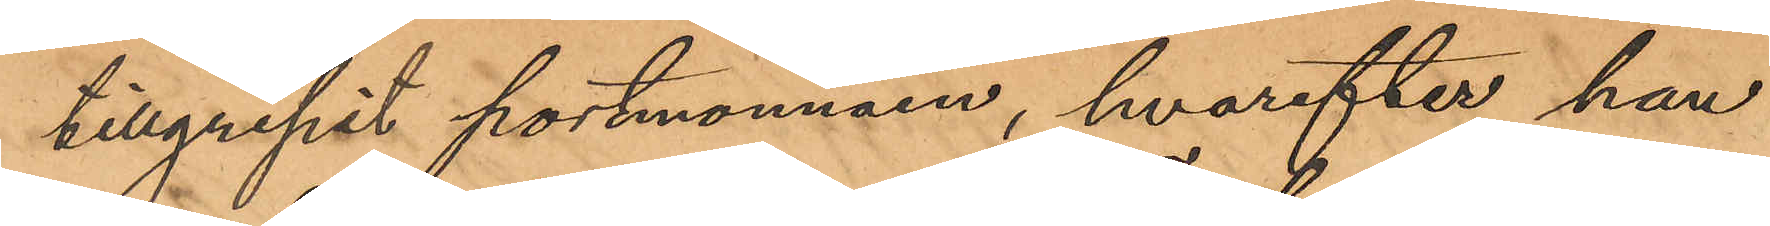tillgripit portmonnäen, hvarefter han
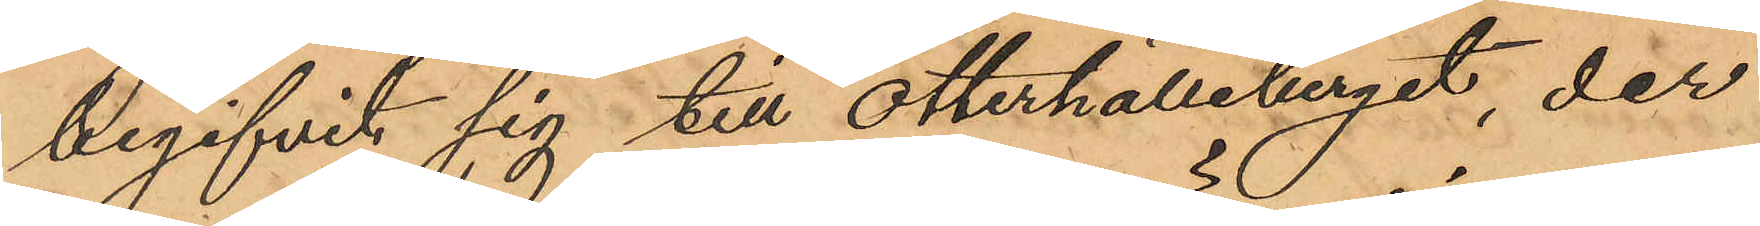begifvit sig till Otterhälleberget, der
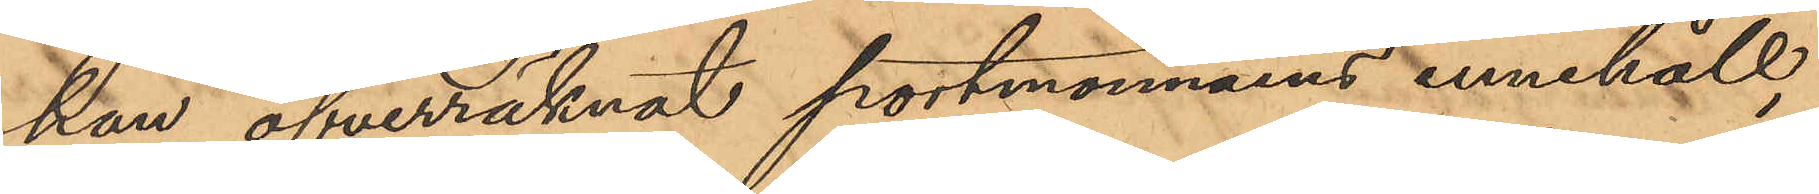han öfverräknat portmonnäens innehåll,
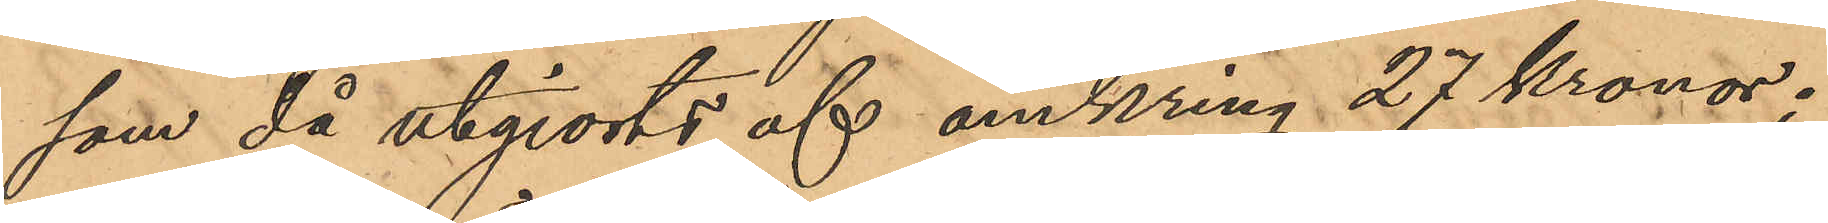som då utgjorts af omkring 27 kronor;
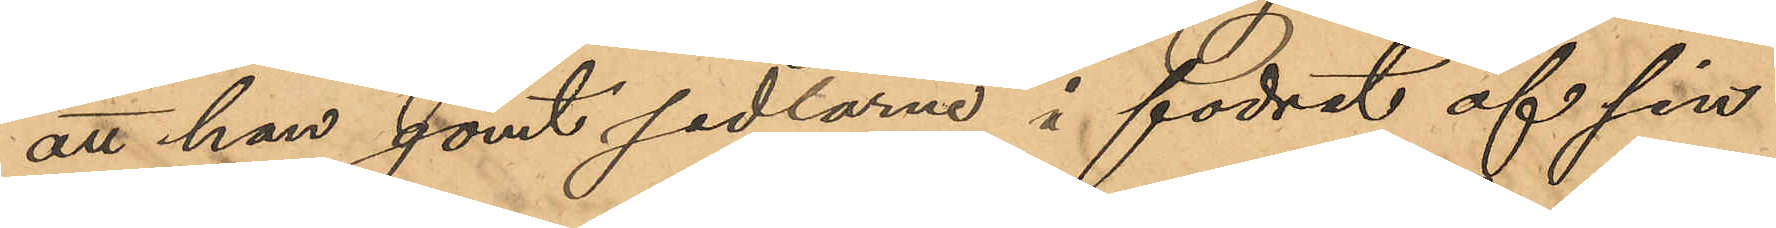att han gömt sedlarne i fodret af sin
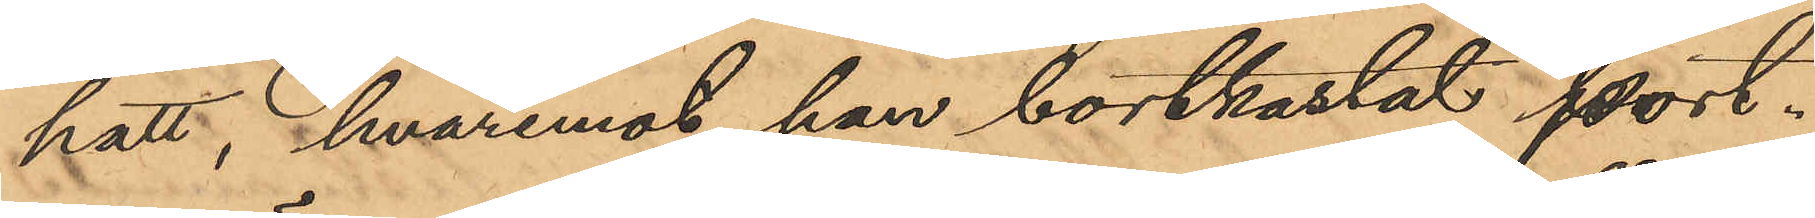hatt, hvaremot han bortkastat port¬
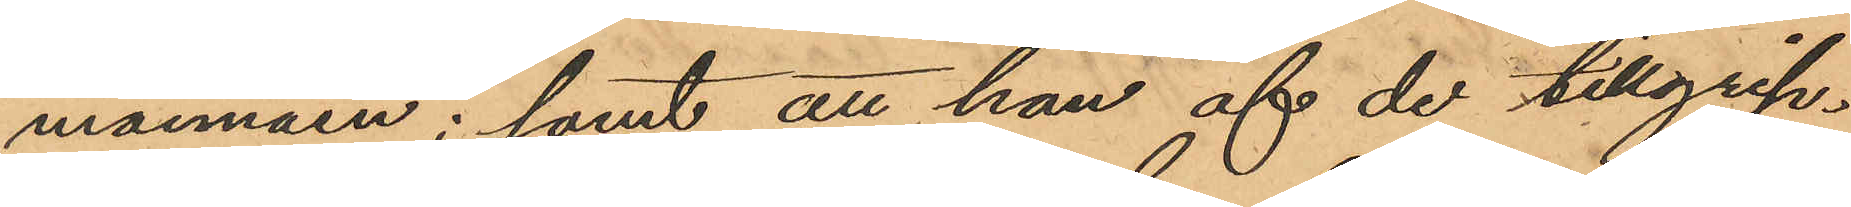monnäen; samt att han af de tillgrip¬
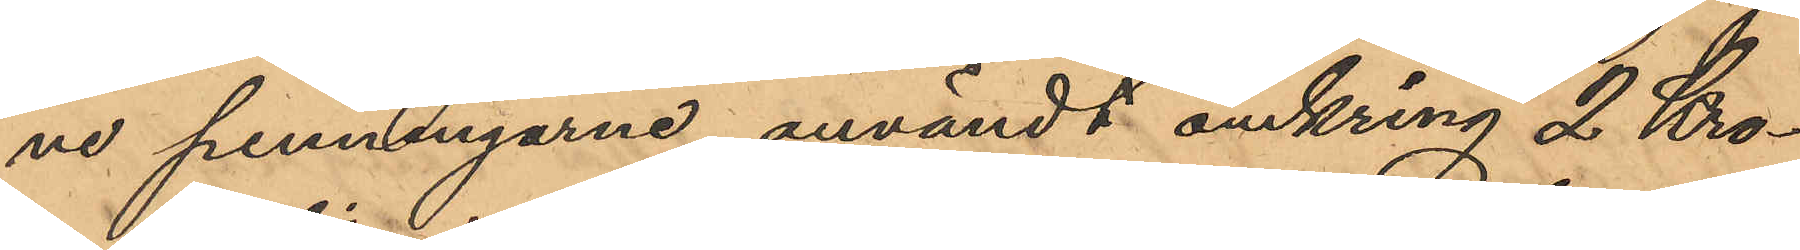ne penningarne användt omkring 2 Kro¬
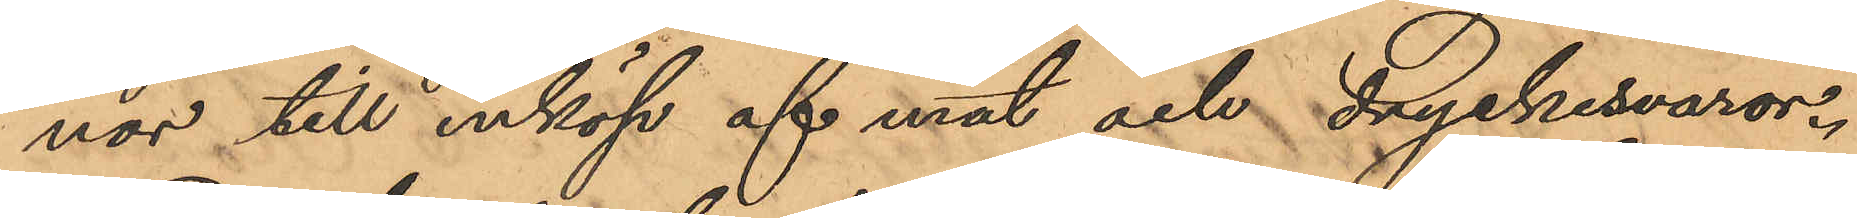nor till inköp af mat och dryckesvaror.
